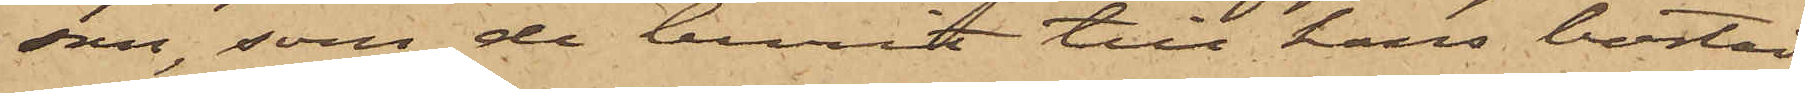son, som de burit till hans bostad;
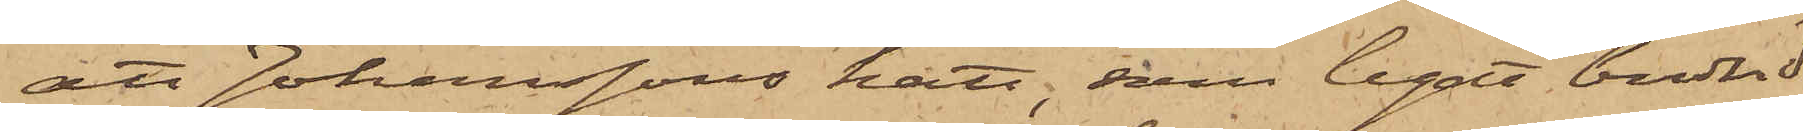att Johanssons hatt, som legat bredvid
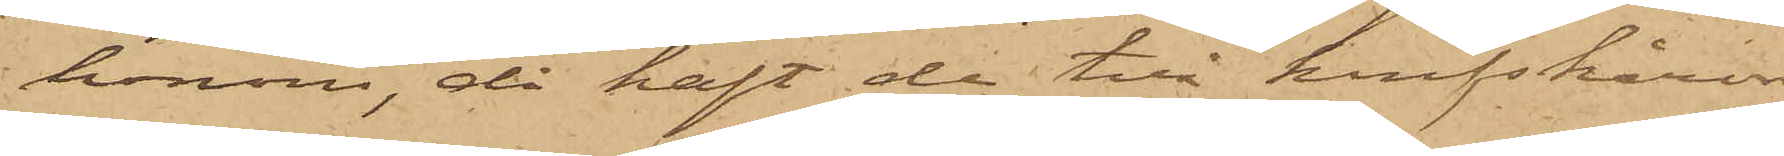honom, då haft de två knifskåror,
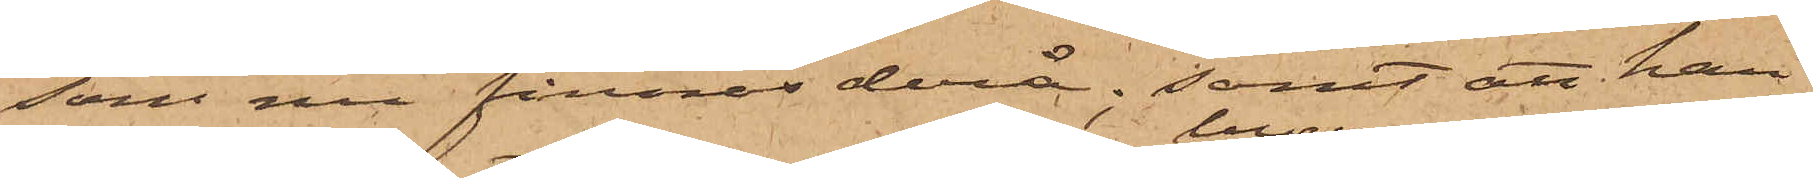som nu finnas derå; samt att han
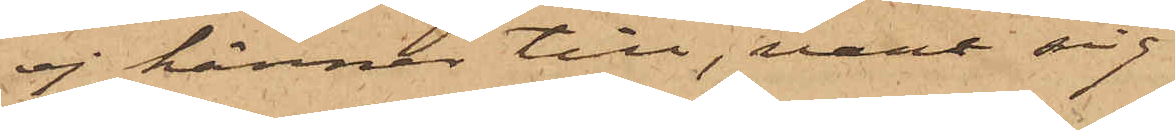ej känner till, vare sig
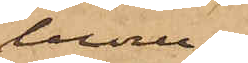huru
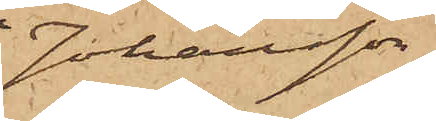Johansson
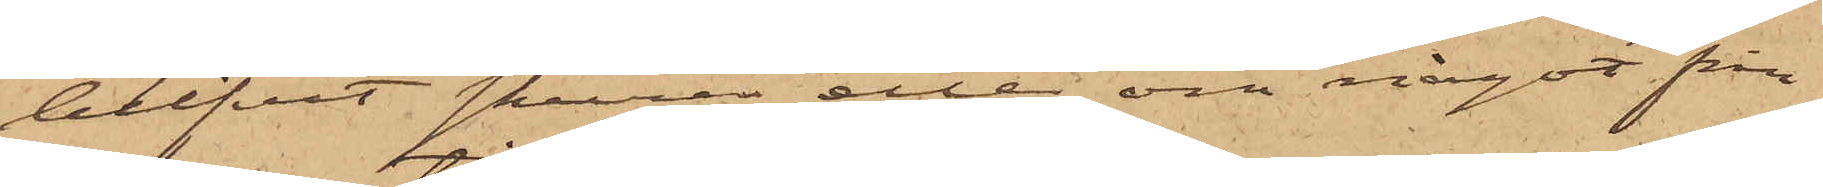blifvit skuren eller om något från
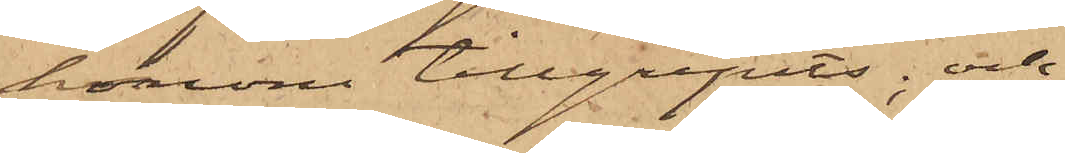honom tillgripits; och
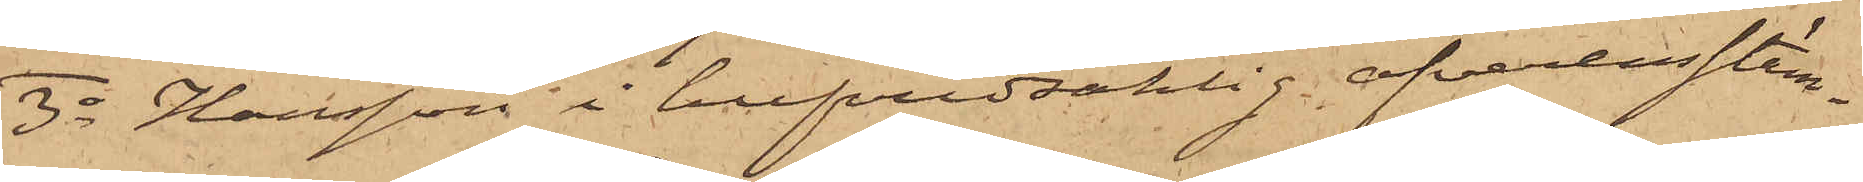3o Hansson i hufvudsaklig öfverensstäm¬
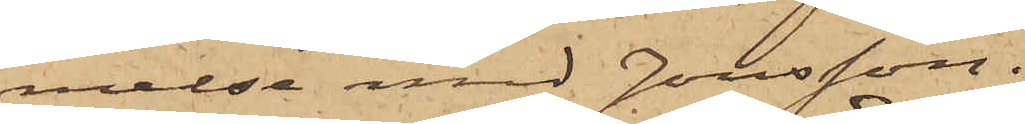melse med Jonsson.
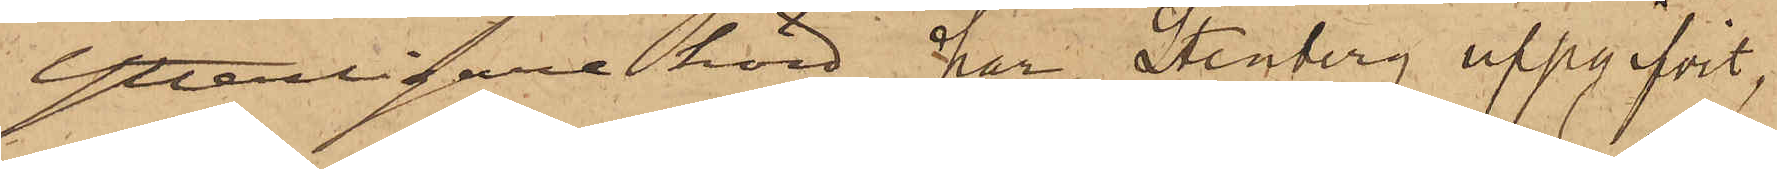Ytterligare hörd har Stenberg uppgifvit,
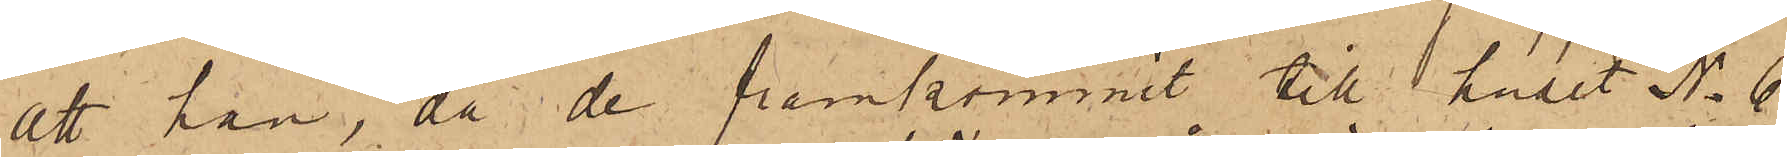att han, då de framkommit till huset No 6
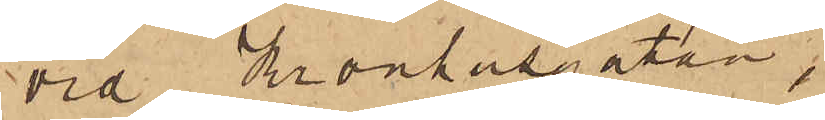vid Kronhusgatan;
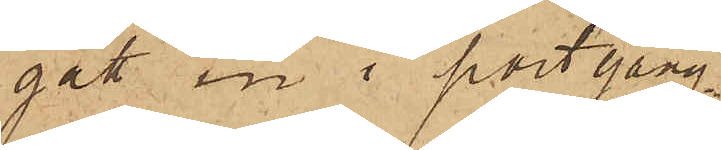gått in i portgång¬
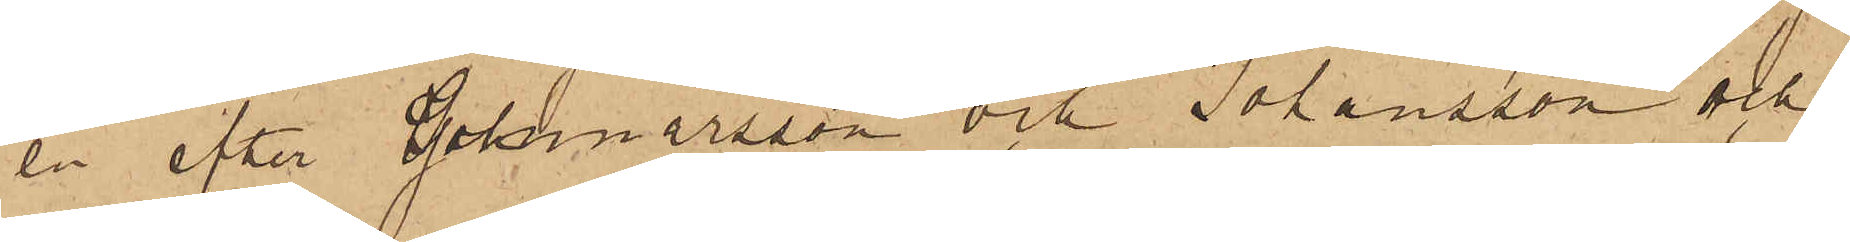en efter Gunnarsson och Johansson och
